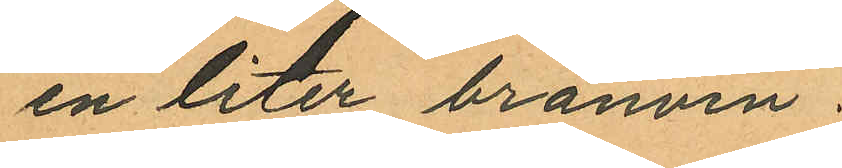en liter bränvin.
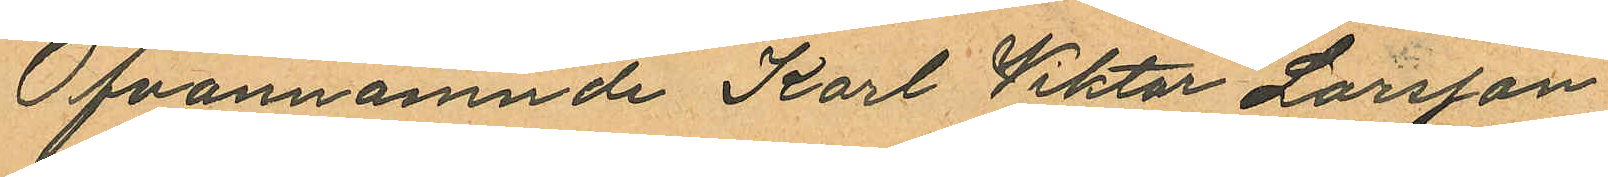Ofvannämnde Karl Viktor Larsson
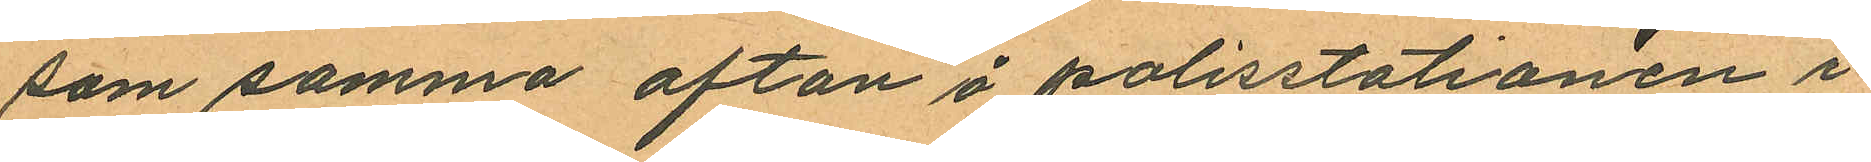som samma afton å polisstationen i
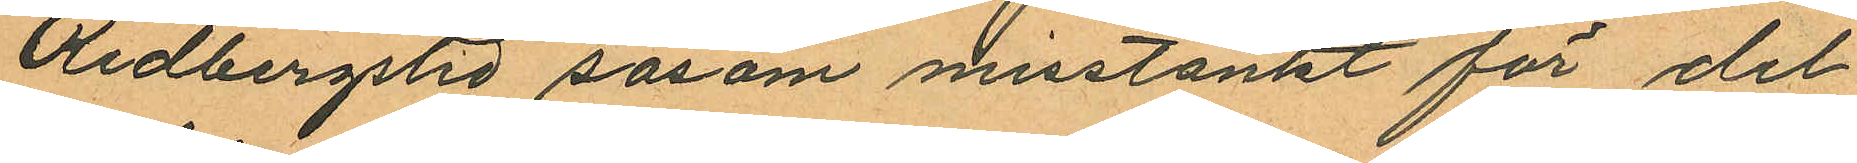Redbergslid såsom misstänkt för del
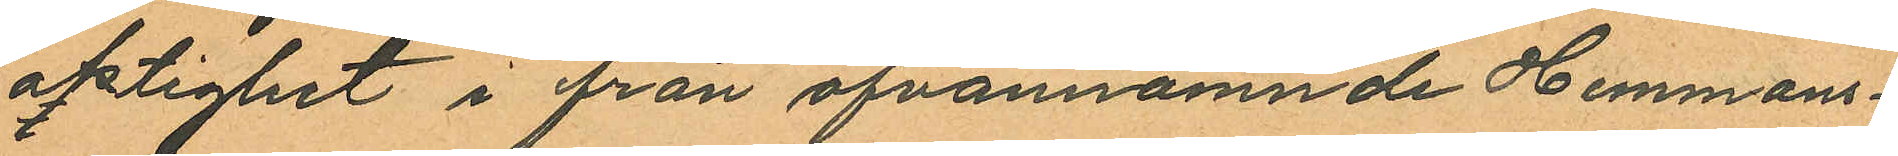aktighet i från ofvannämnde Hemmans¬
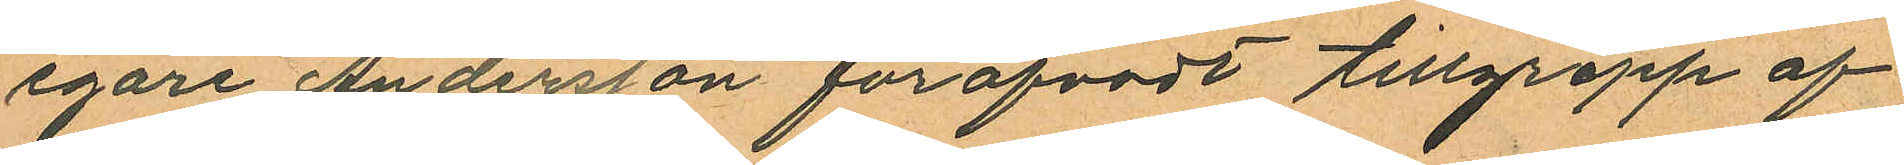egare Andersson föröfvadt tillgrepp af
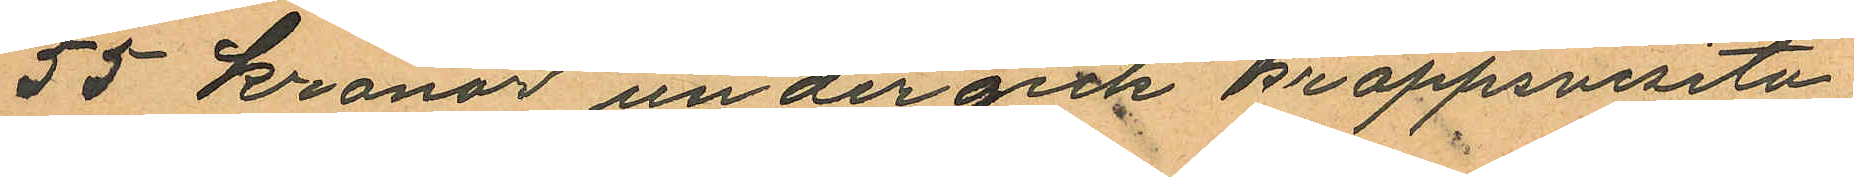55 kronor undergick kroppsvisita¬
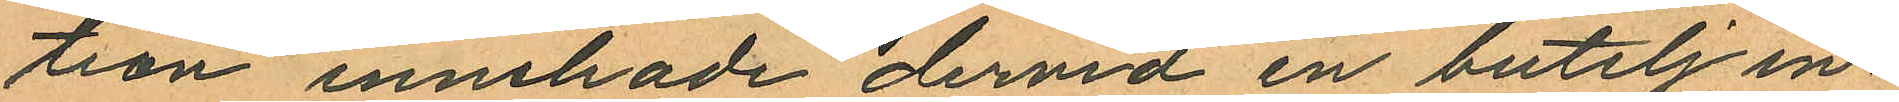tion innehade dervid en butelj in¬
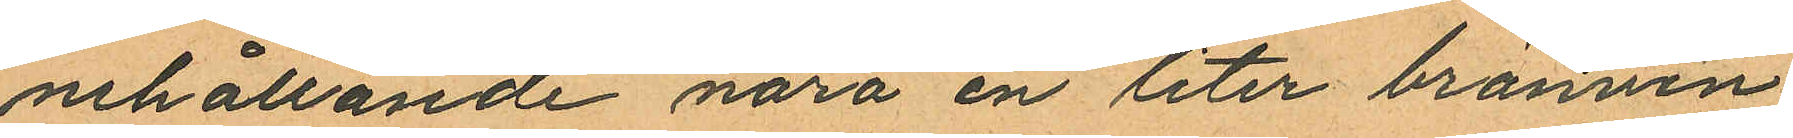nehållande nära en liter brännvin
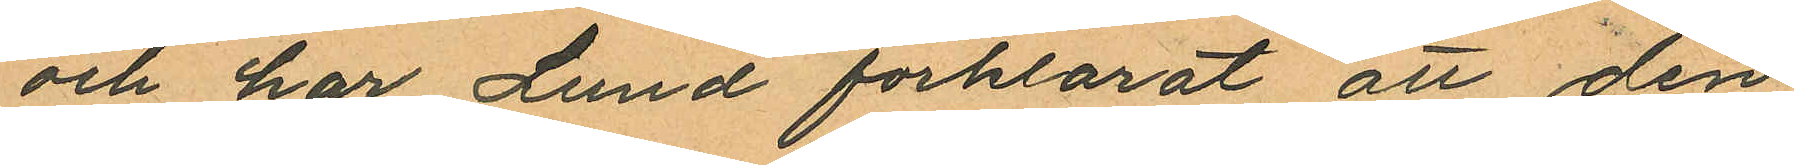och har Lund förklarat att den
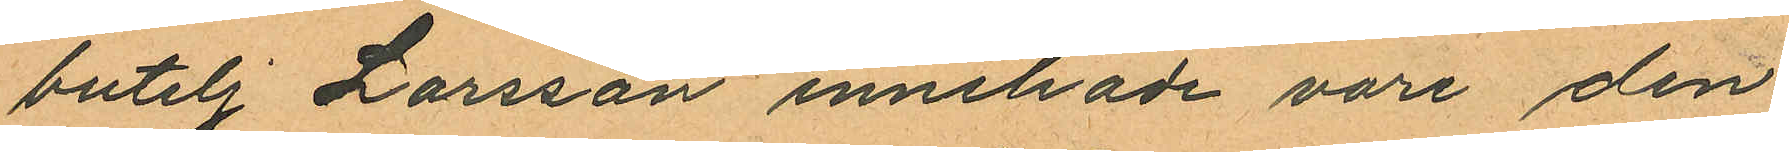butelj Larsson innehade vore den
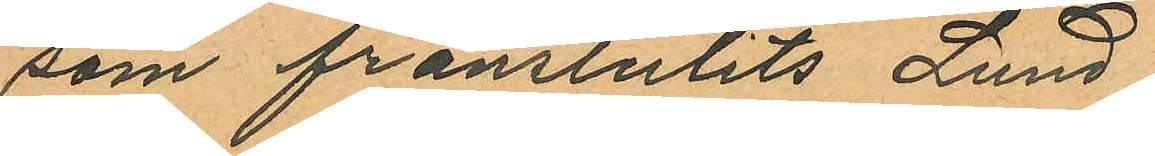som frånstulits Lund.
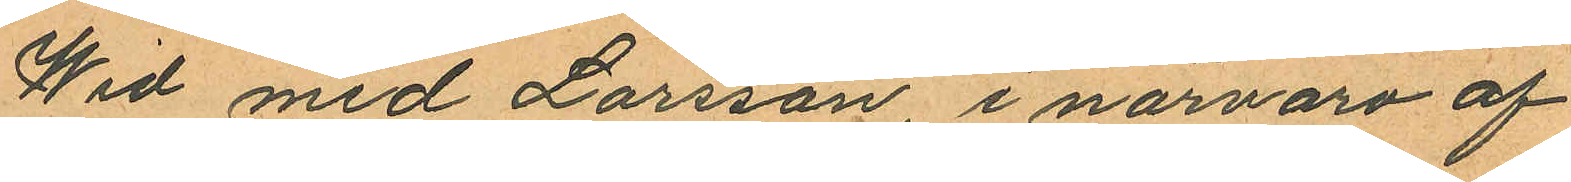Wid med Larsson, i närvaro af
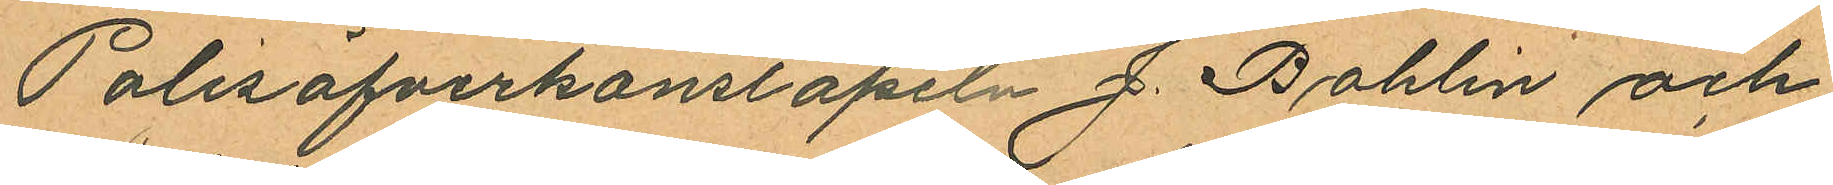Polisöfverkonstapeln J. Bohlin och
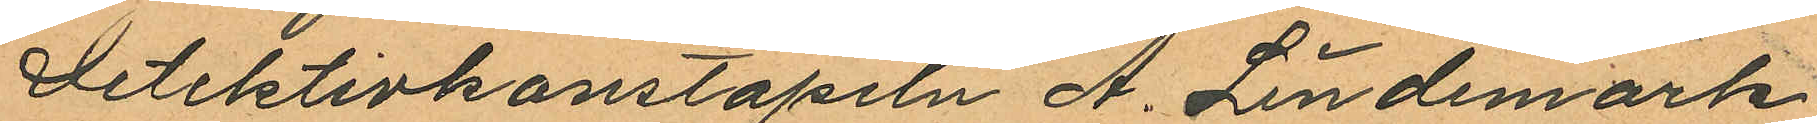Detektivkonstapeln A. Lindemark
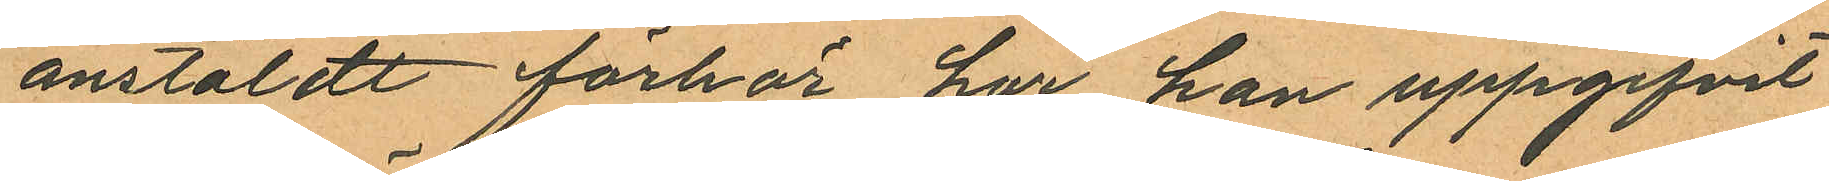anstäldt förhör har han uppgifvit
